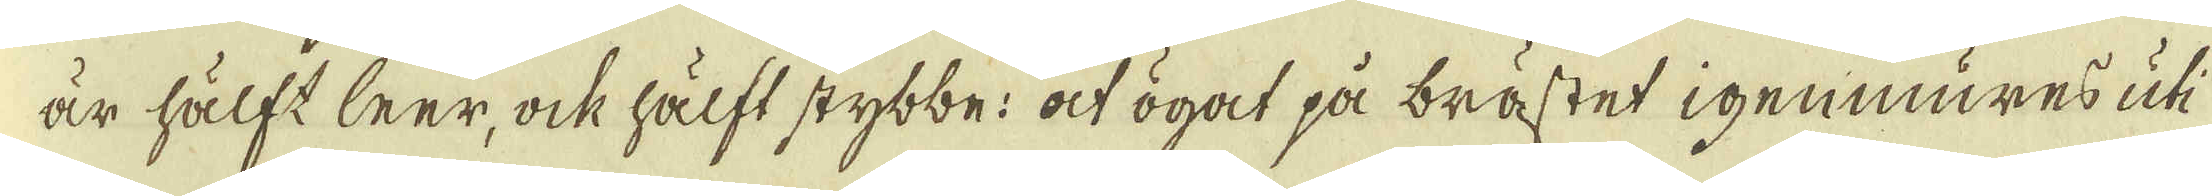är hälft leer, ock hälft stybbe: at ögot på brästet igenmures uti
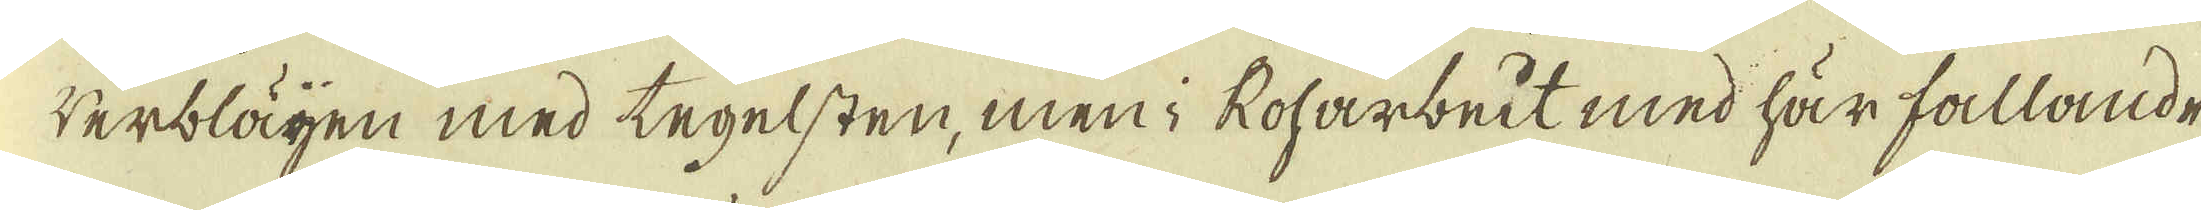werblägen med tegelsten, men i Roharbeit med här fallande
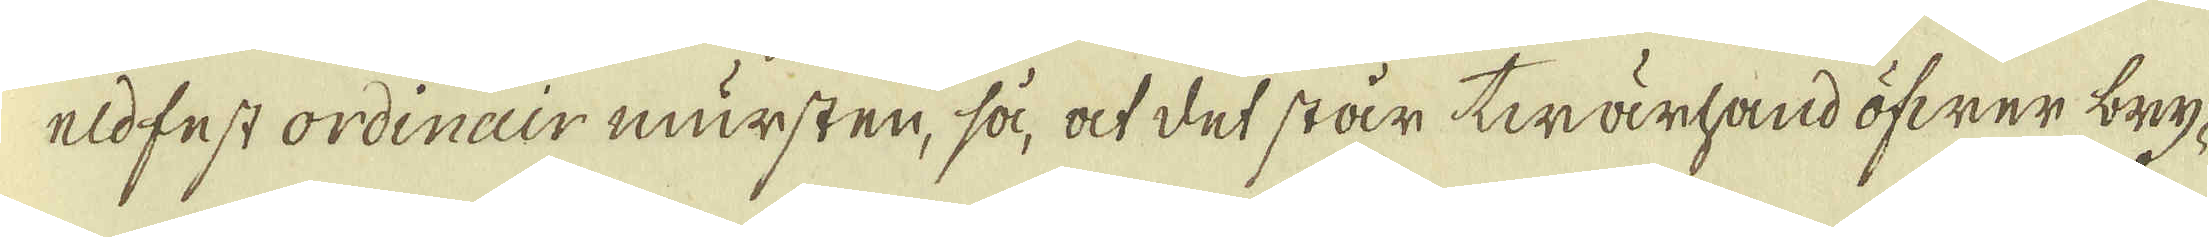eldfest ordinair mursten, så, at det står twärhand öfwer bry-
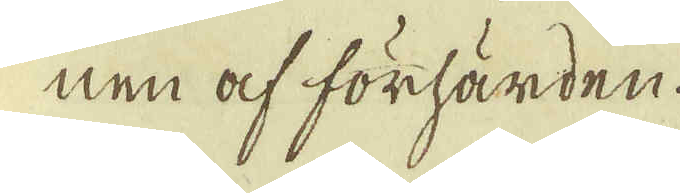nen af förhärden.
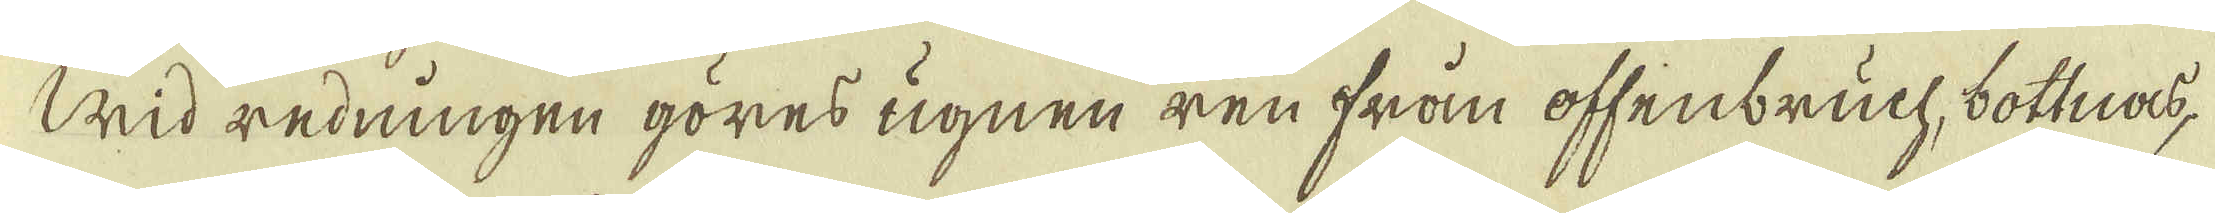Wid redningen göres ugnen ren från offenbruch, bottnas,
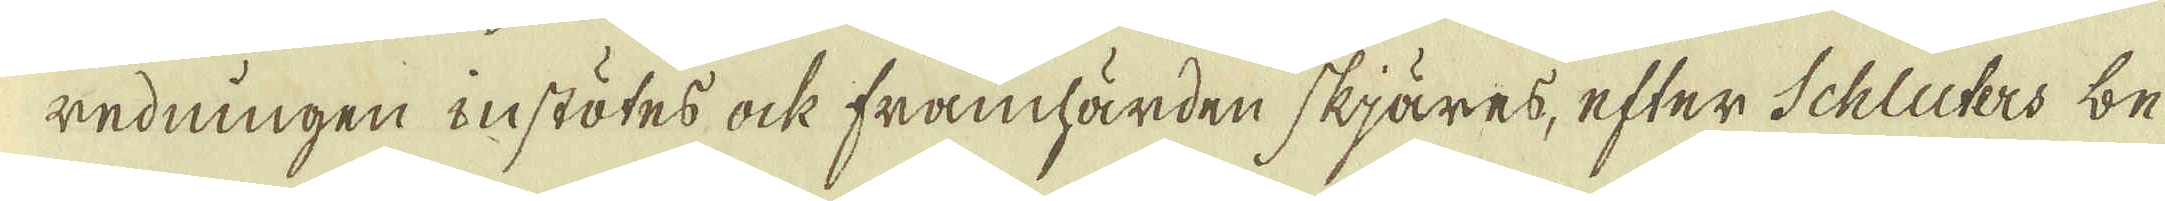redningen instötes ock framhärden skjäres, efter Schluters be-
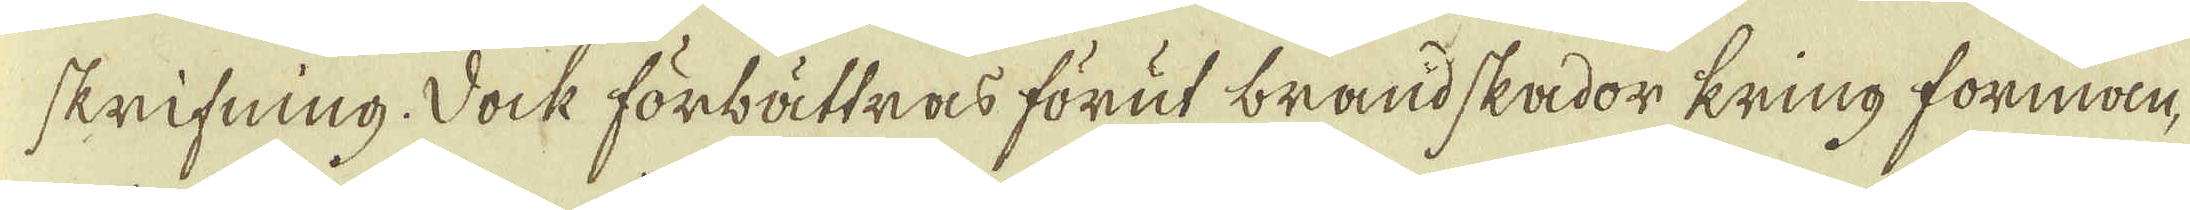skrifning. Dock förbättras förut brandskador kring forman-
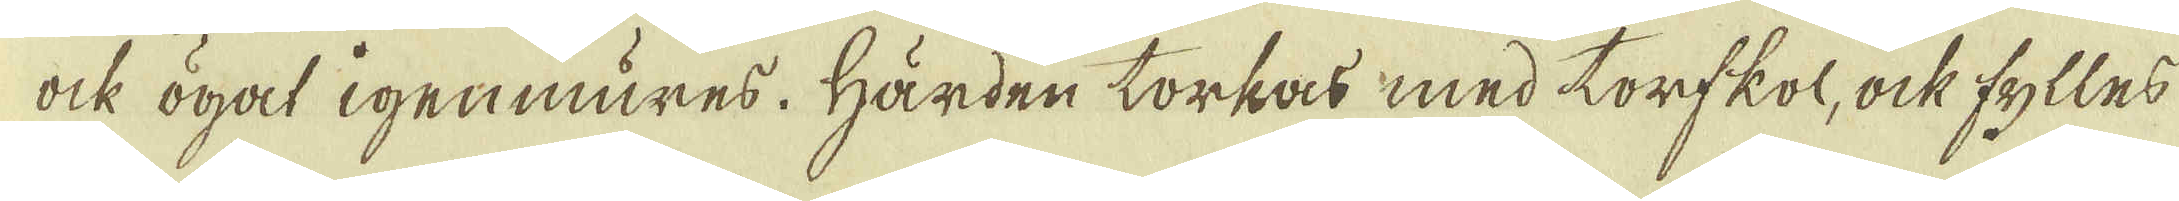ock ögat igenmures. Härden torkas med torfkol, ock fylles
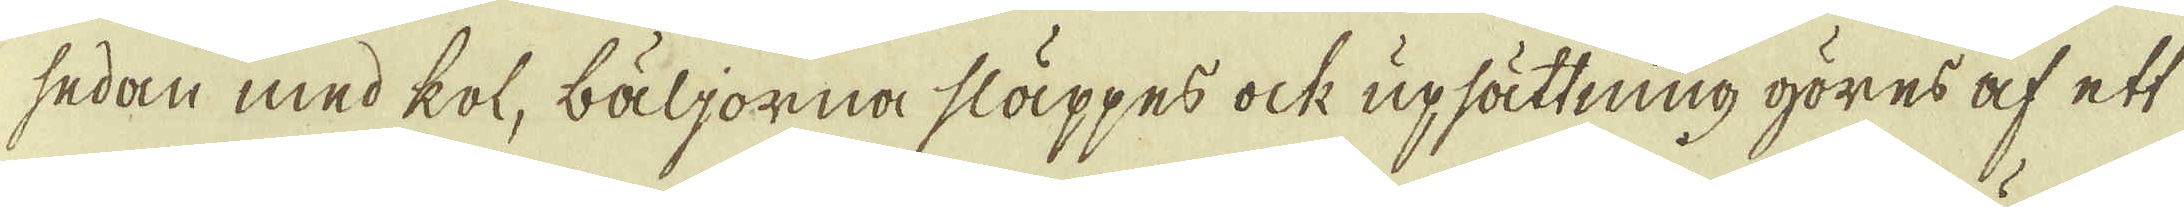sedan med kol, bäljorna släppes ock upsättning göres af ett
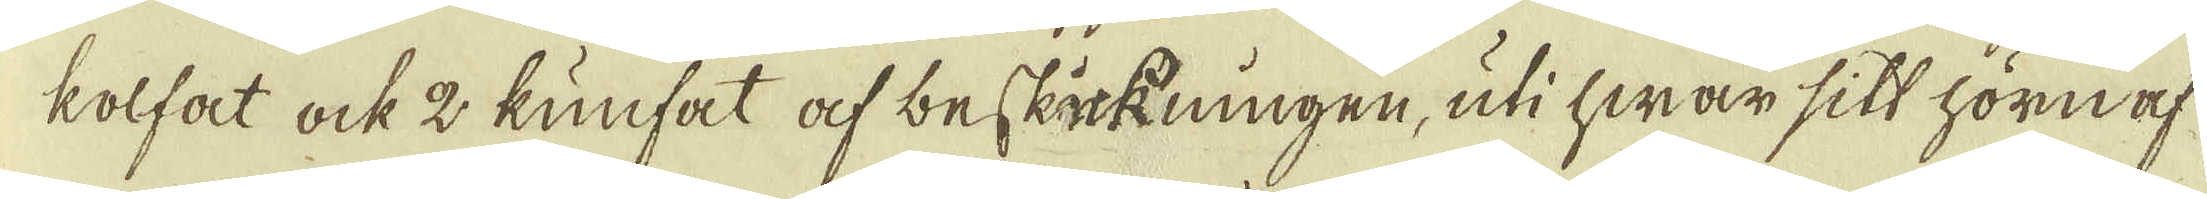kolfat ock 2 kunfat af beskickningen, uti hwar sitt hörn af-
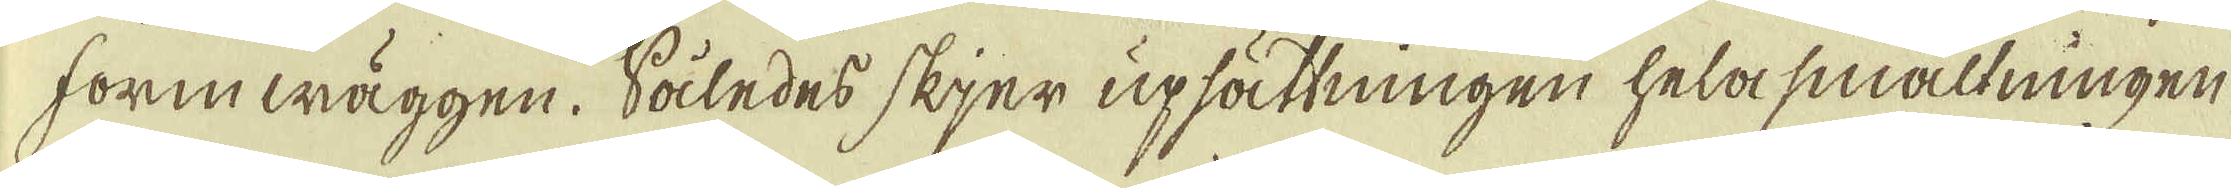forinwäggen. Således skjer upsättningen hela smältningen
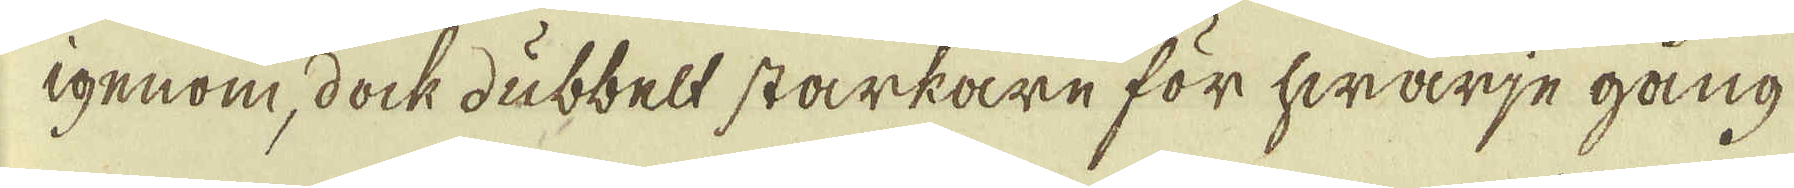igenom, dock dubbelt starkare för hwarje gång
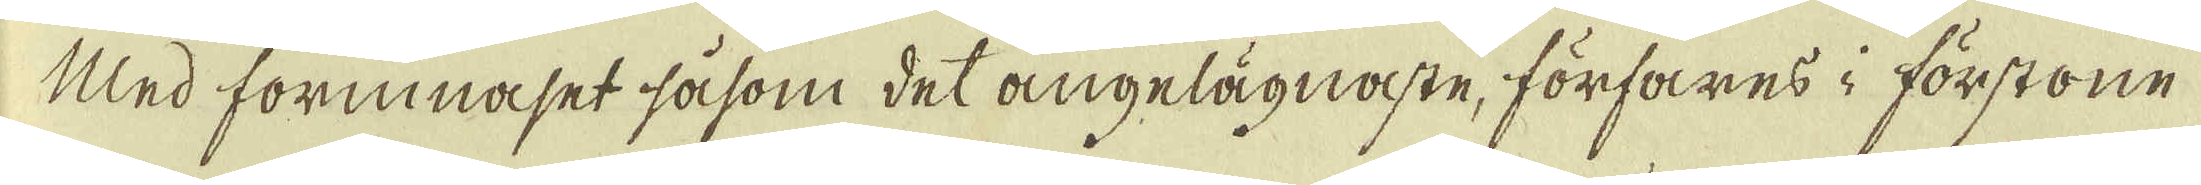Med forinnaset såsom det angelägnaste, förfares i förstone
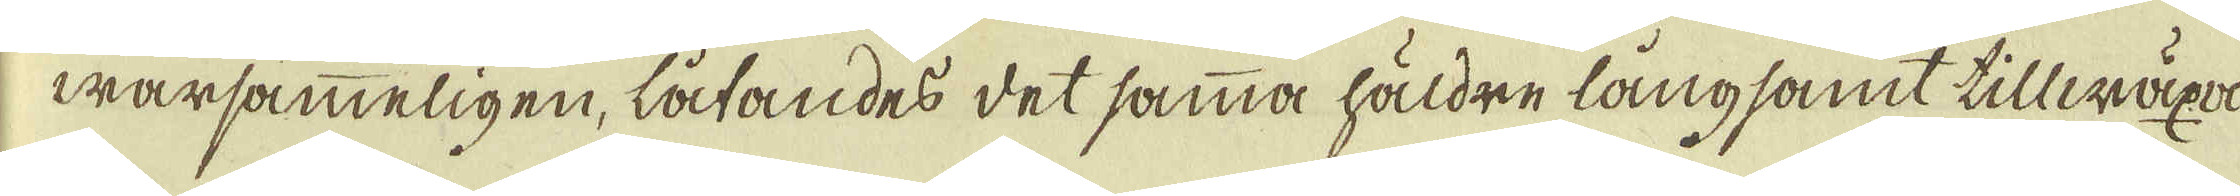warsammeligen, låtandes det samma häldre långsamt tillwäxa
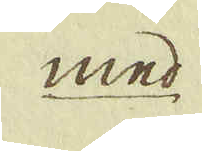med
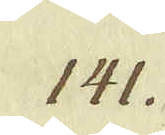141.
